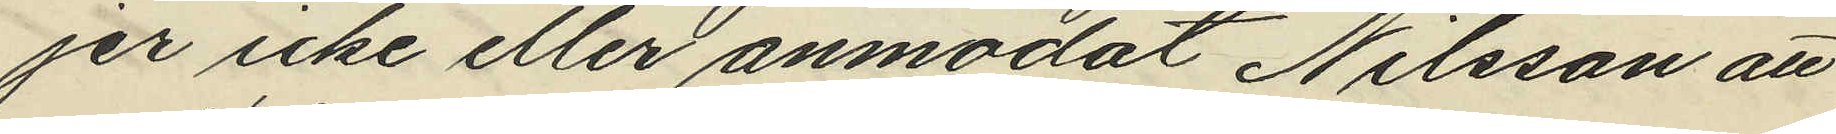jer icke eller anmodat Nilsson att
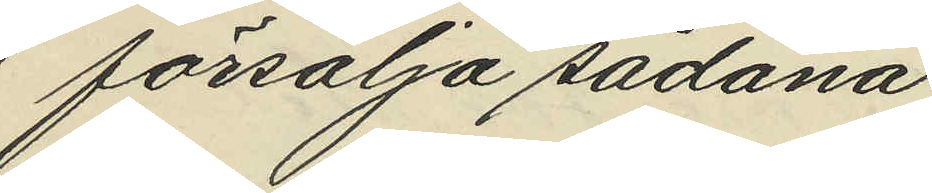försälja sådana.
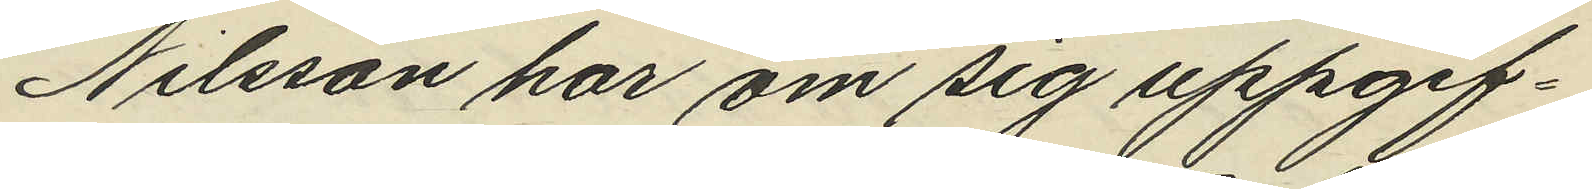Nilsson har om sig uppgif¬
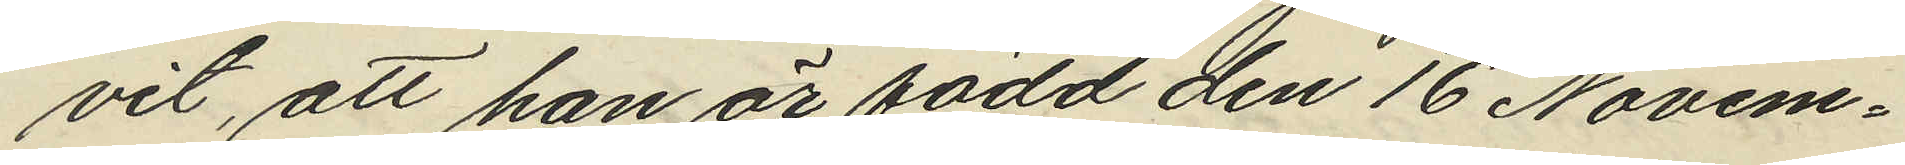vit, att han är född den 16 Novem¬
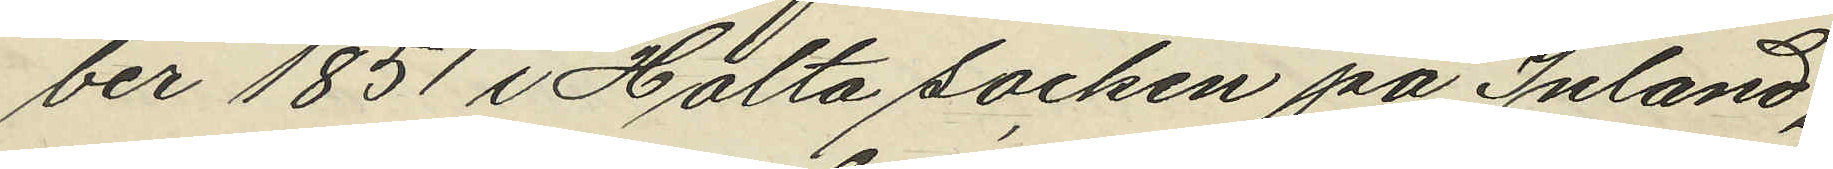ber 1851 i Hålta socken på Inland,
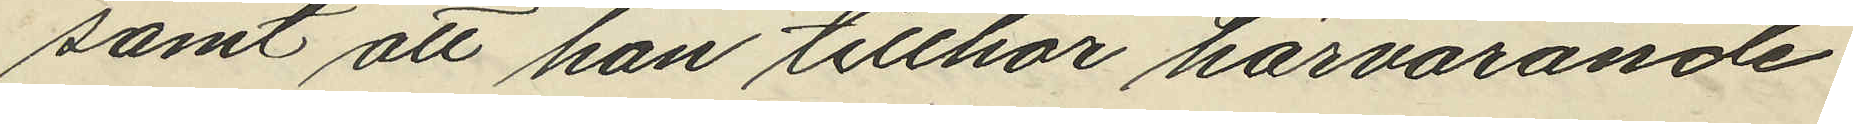samt att han tillhör härvarande
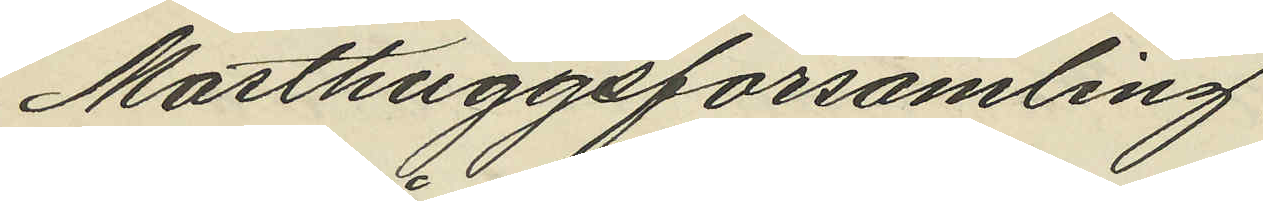Masthuggsförsamling.
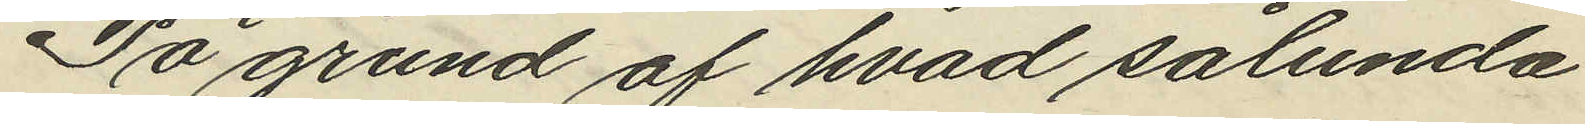På grund af hvad sålunda
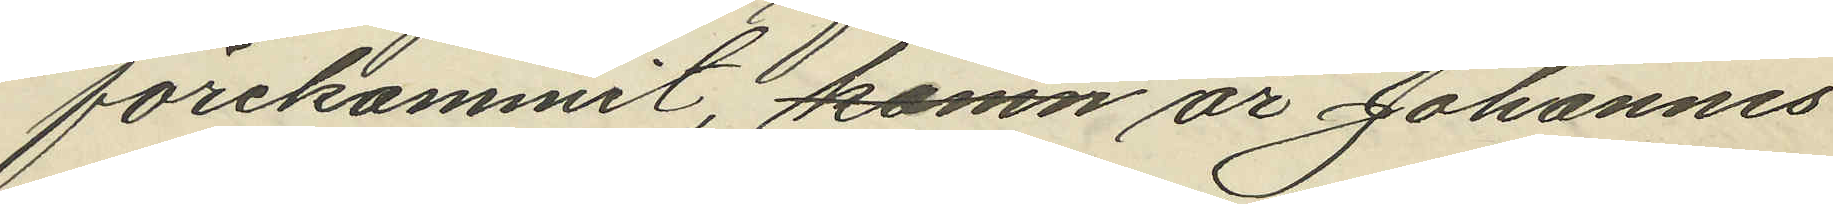förekommit, komn är Johannes
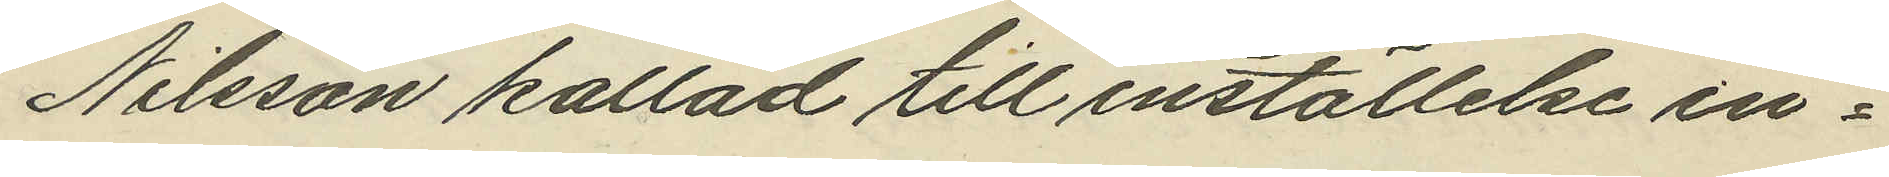Nilsson kallad till inställelse in¬
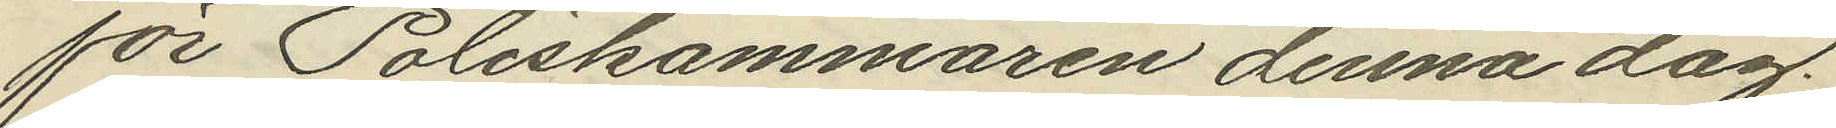för Poliskammaren denna dag.
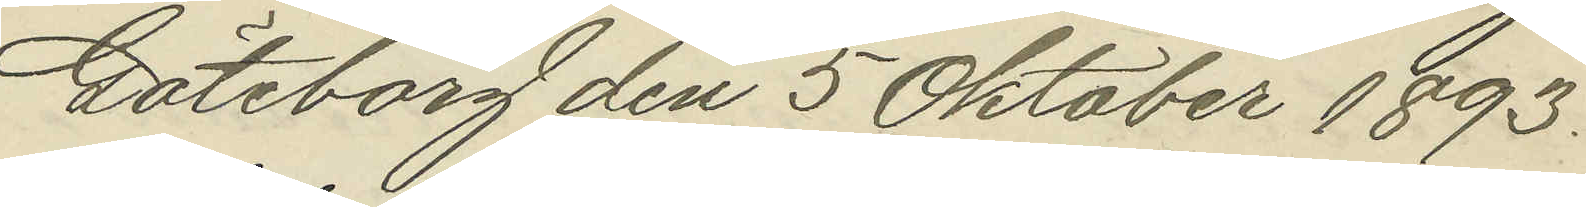Göteborg den 5 Oktober 1893.
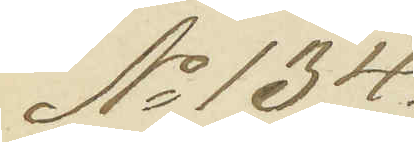No 134.
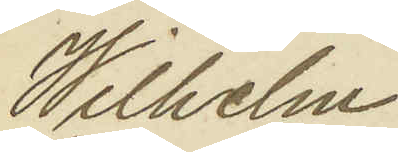Wilhelm
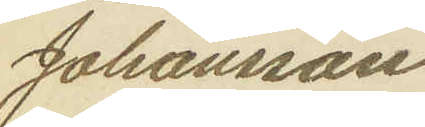Johansson
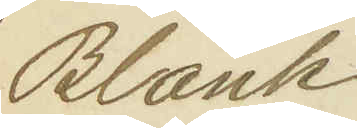Blank
